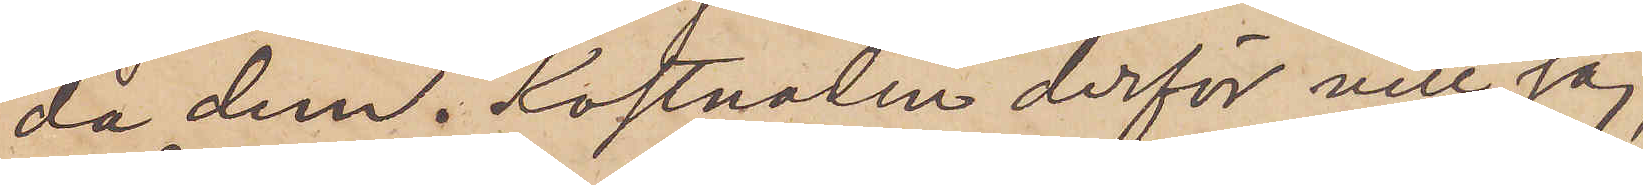da dem.  Kostnaden derför vill jag,
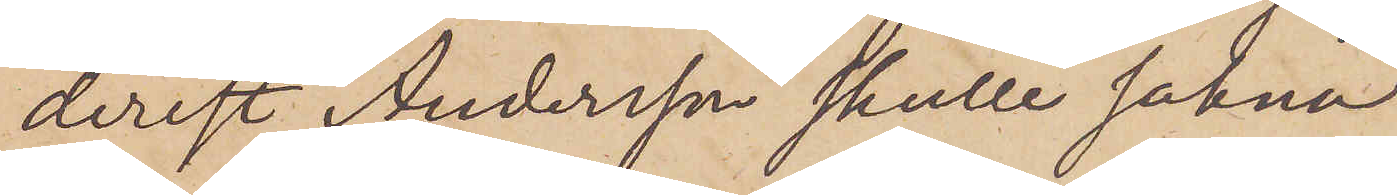derest Andersson skulle sakna
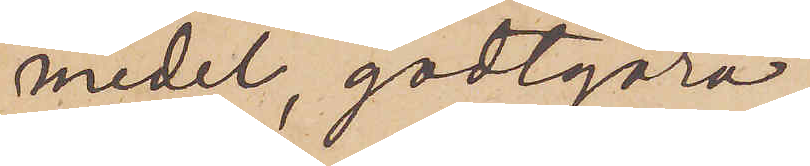medel, godtgöra.
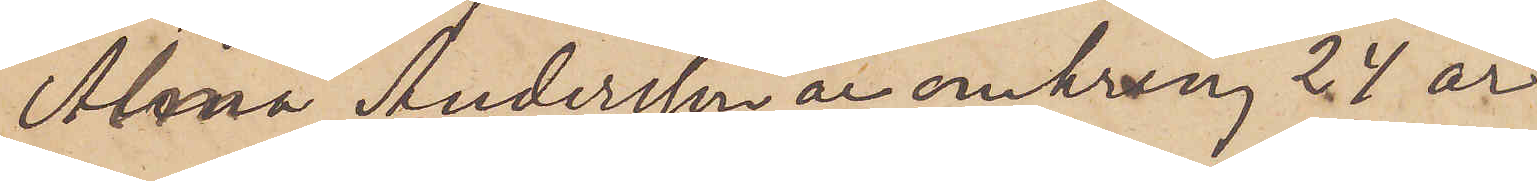Alma Andersson är omkring 24 år
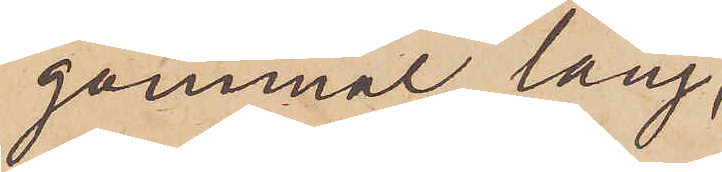gammal, lång,
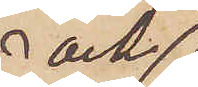och
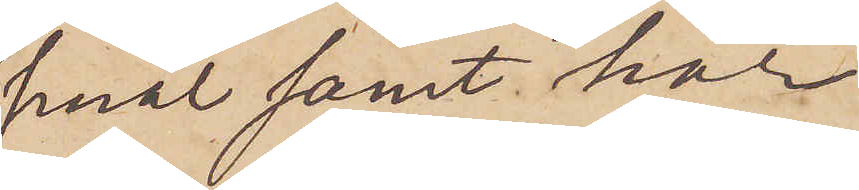smal samt har
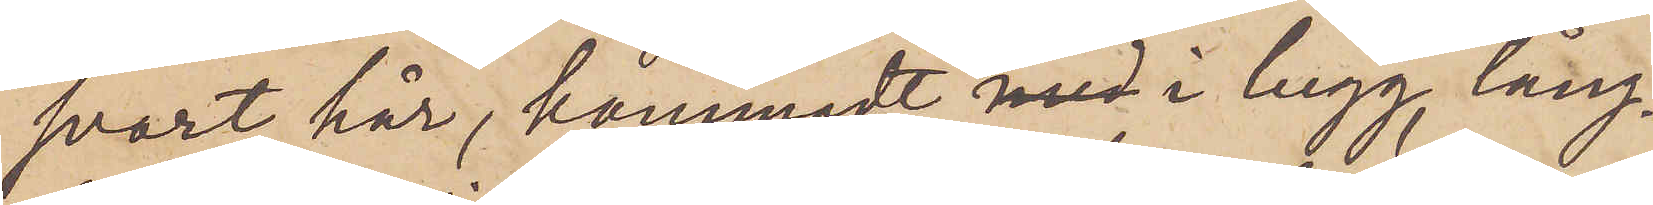svart hår, kammadt i lugg, lång¬
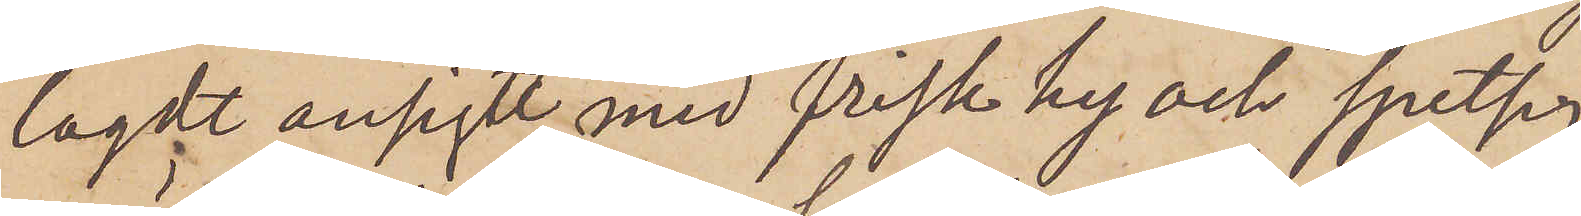lagdt ansigte med frisk hy och spetsig
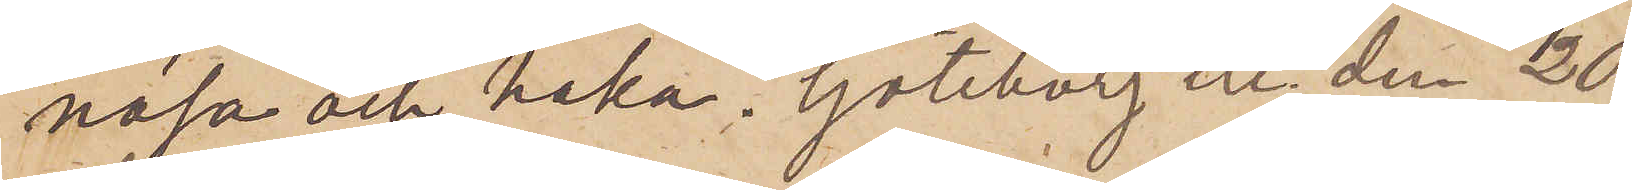näsa och haka. Göteborg etc den 20
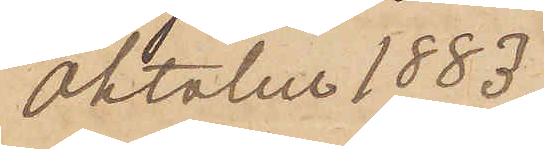Oktober 1883.
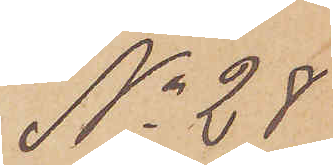No 28
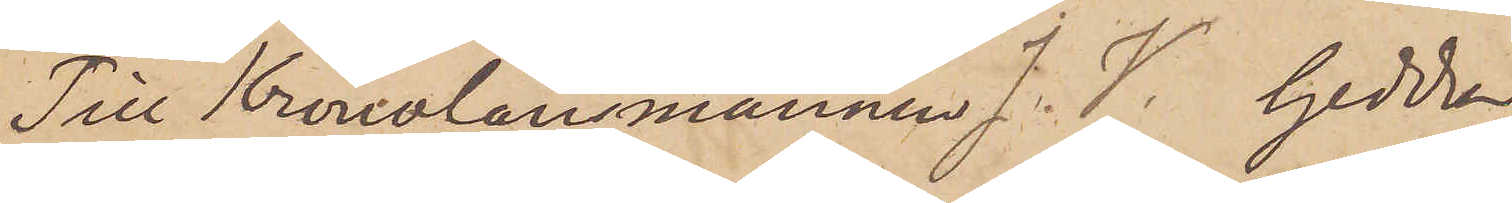Till Kronolänsmannen J. V. Gedda
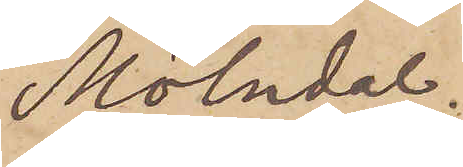Mölndal.
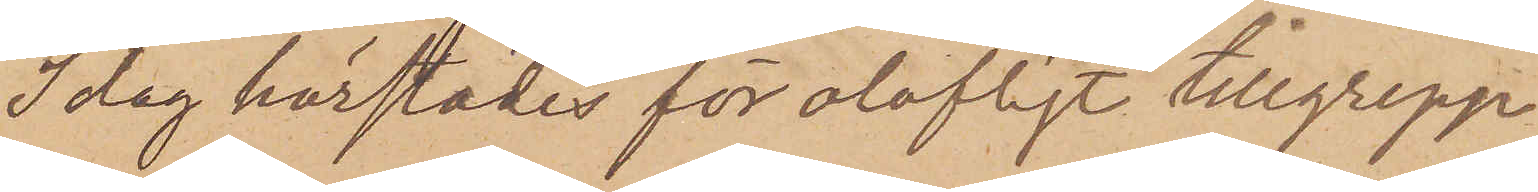Idag härstädes för olofligt tillgrepp
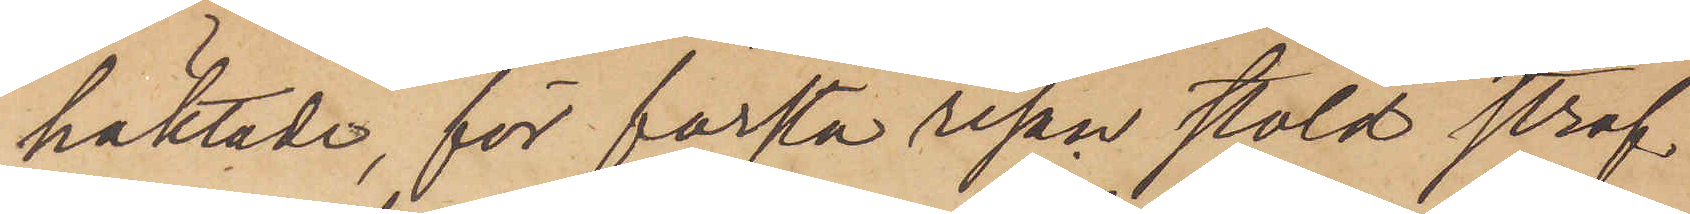häktade, för första resan stöld straf¬
